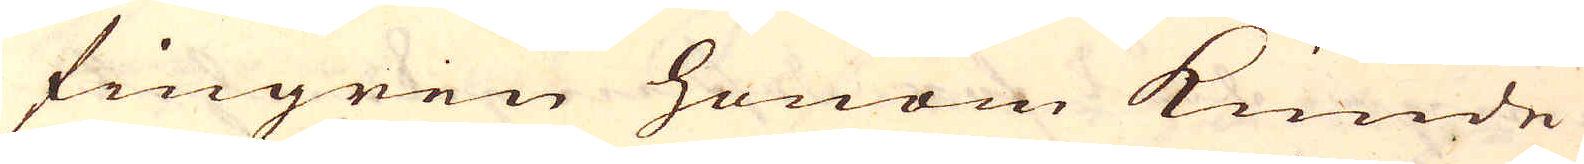fingren honom kunde
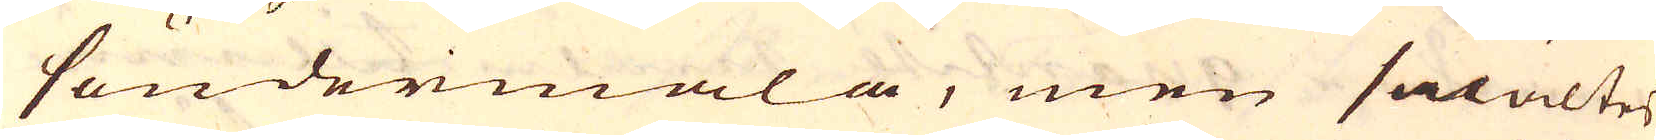söndermala, men smältes
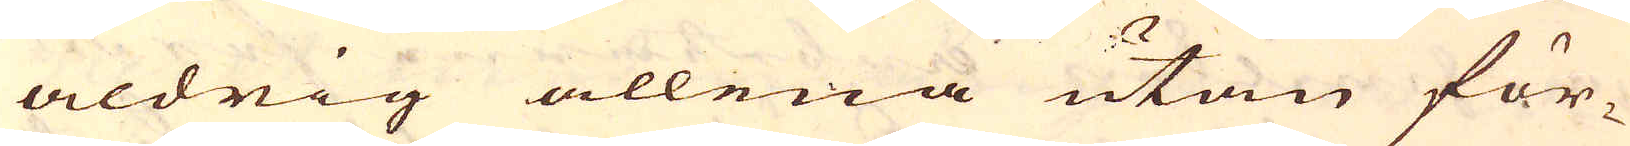aldrig allena utan för-
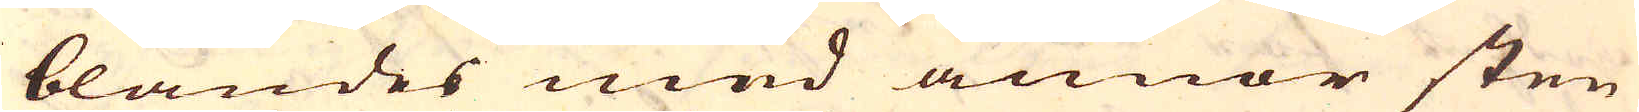blandes med annor sten
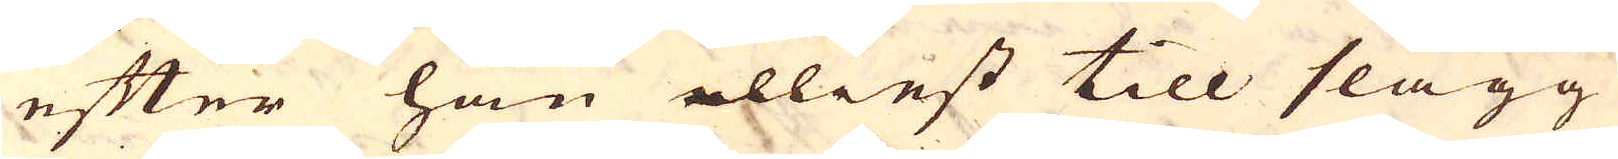efter han elliest till slagg
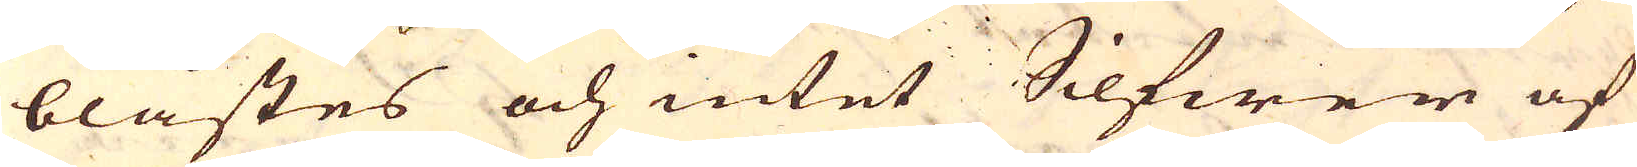blåstes och intet Silfwer af
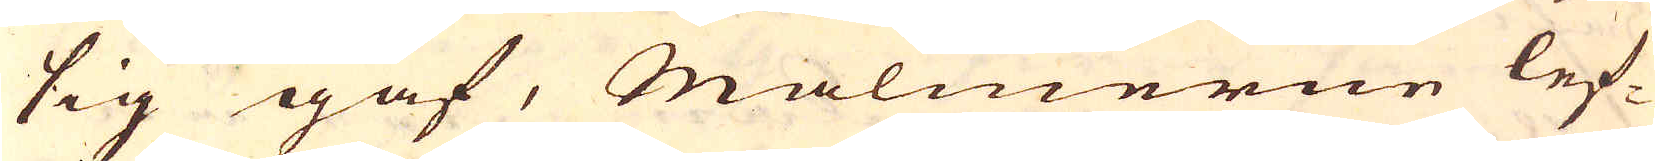sig gaf, Malmerne lef-
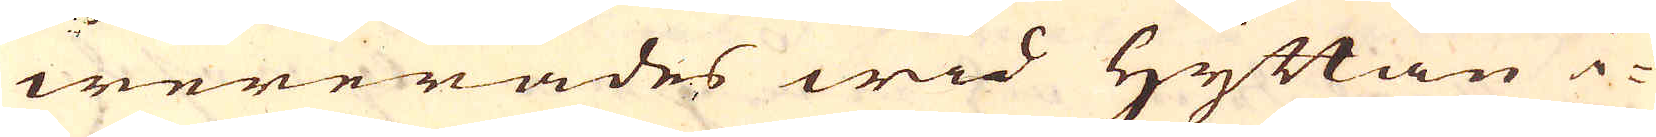wererades wid Hyttan i-
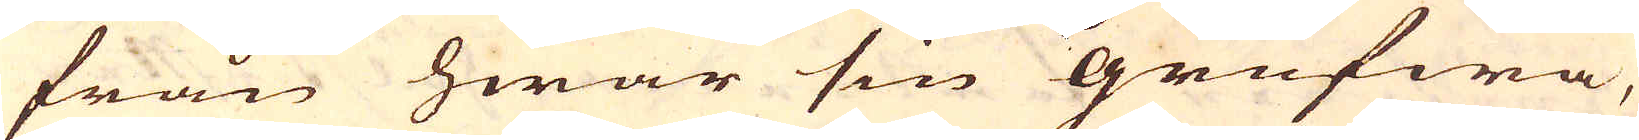från hwar sin grufwa,
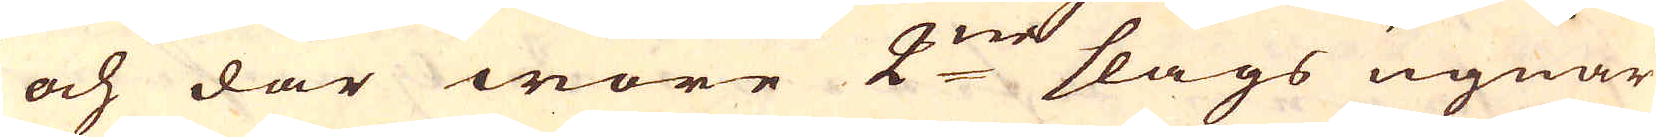och där wore 2:ne slags ugnar
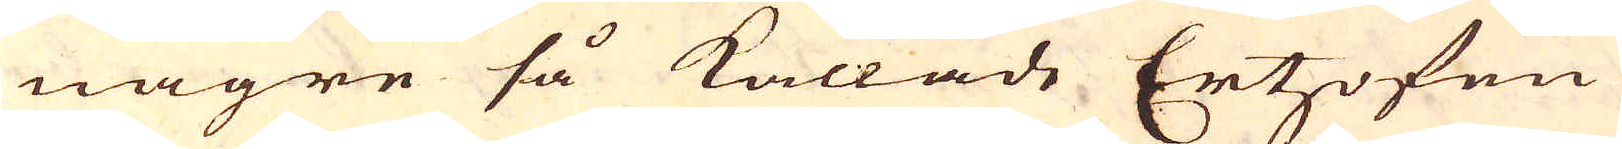någre så kallade Ertzofen
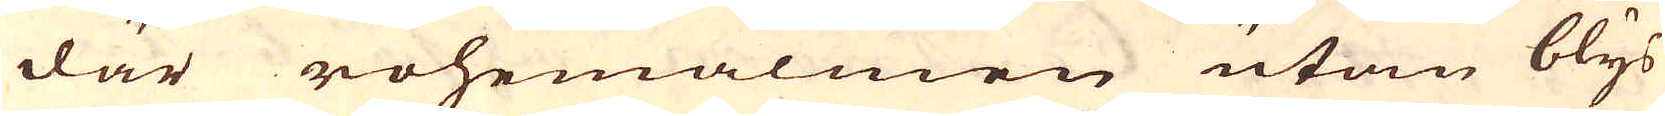där rohemalmen utan blys
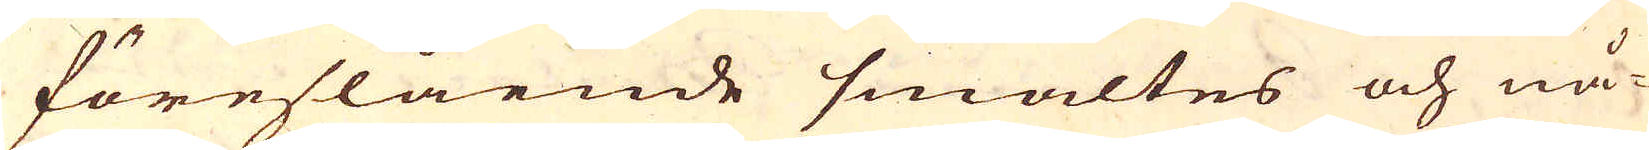föreslående smältes och nå-
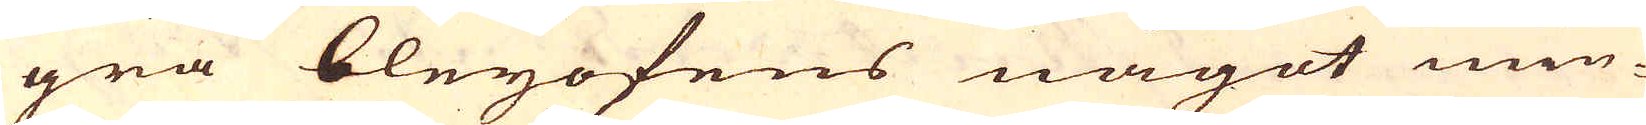gra bleyofens något min-
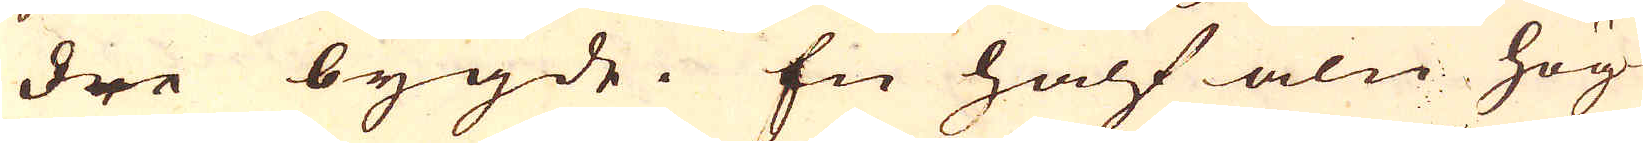dre bygde. En half aln hög
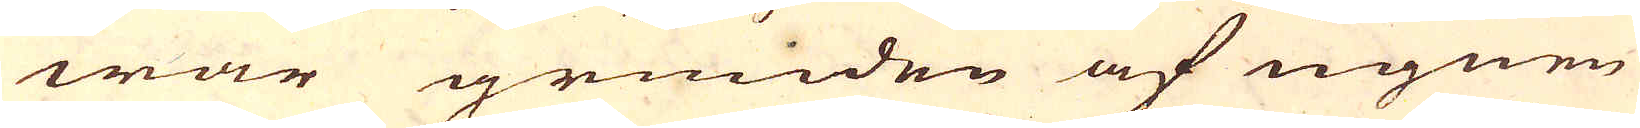war grunden af ugnen
